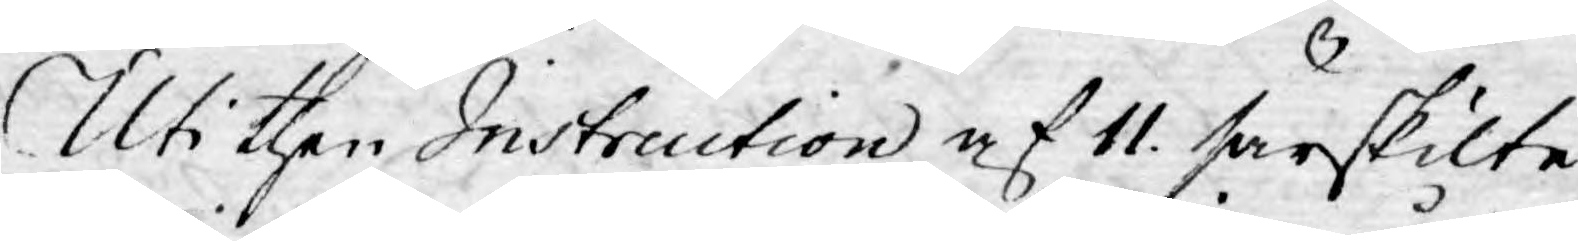Uti then Instruction af 11. särskilte
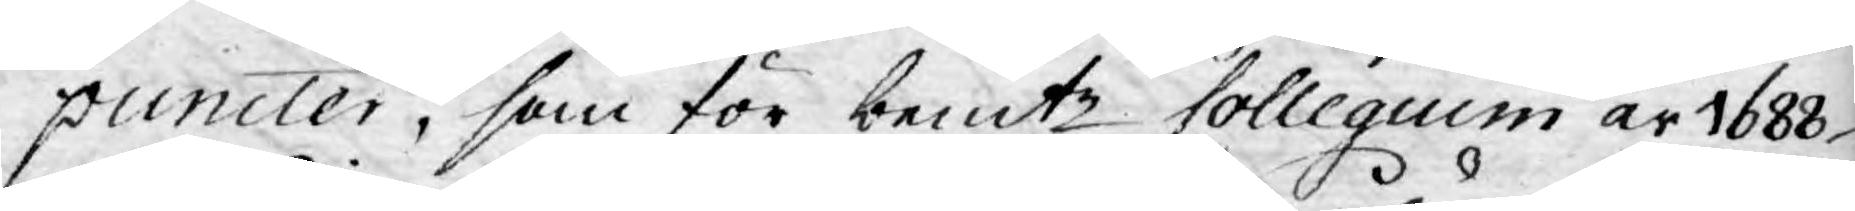puncter, som för bemte Collegium år 1688.
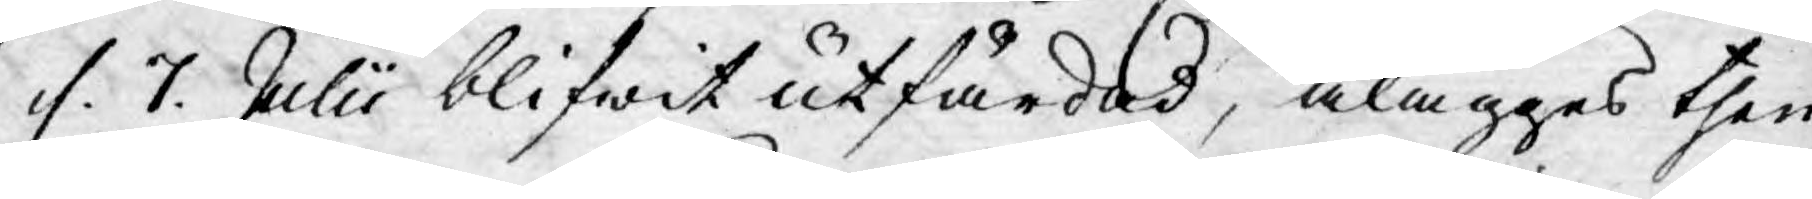f. 7. Julii blifwit utfärdad, ålägges then
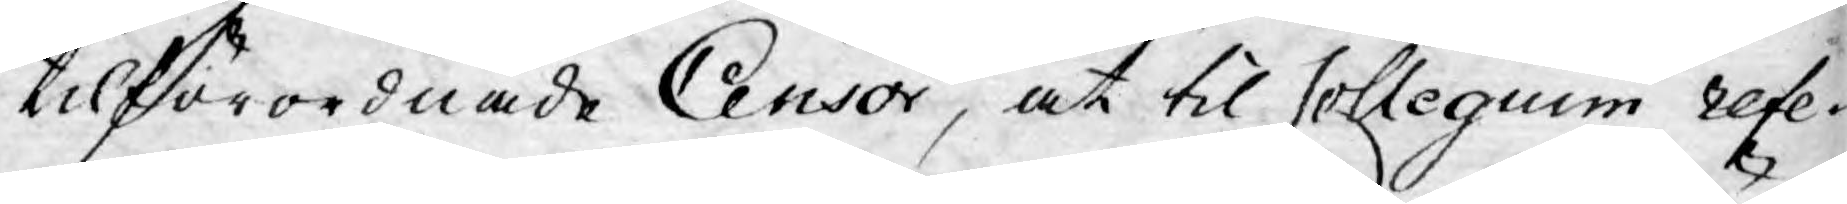tilförordnade Censor, at til Collegium refe¬
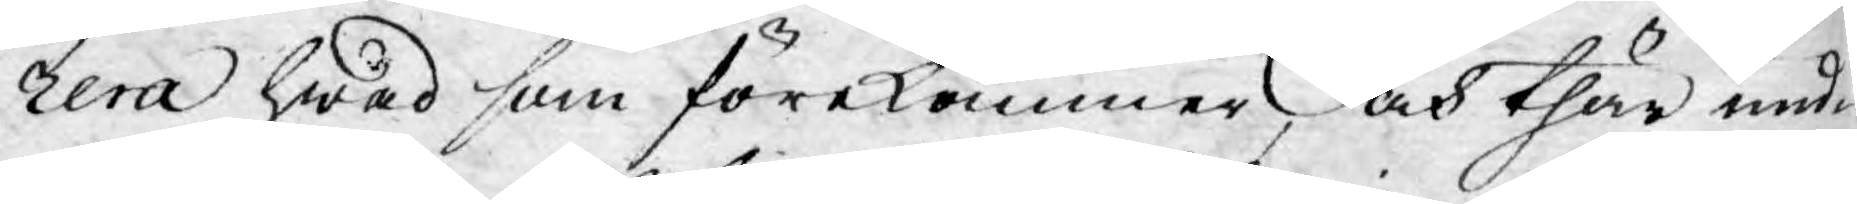rera hwad som förekommer, och thär und¬
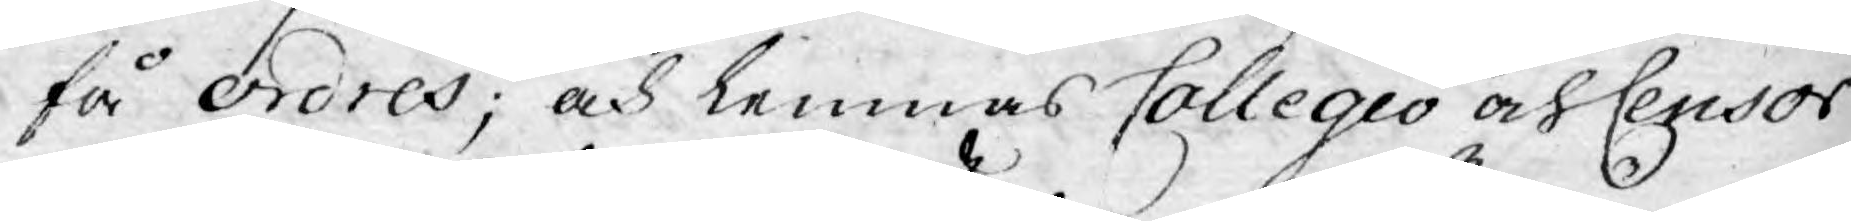få ordres; och lemnas Collegio och Censor
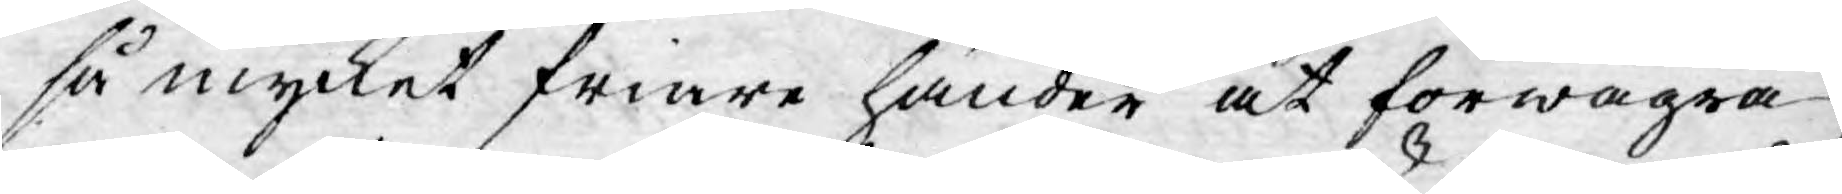så mycket friare händer at förwägra
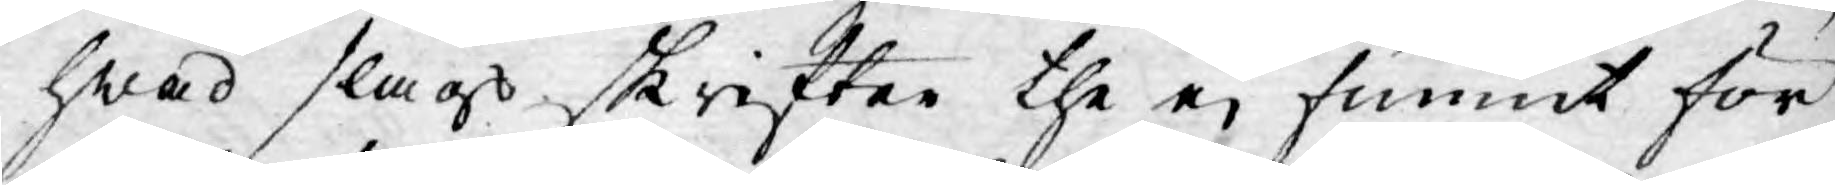hwad slags skrifter the ej funnit för
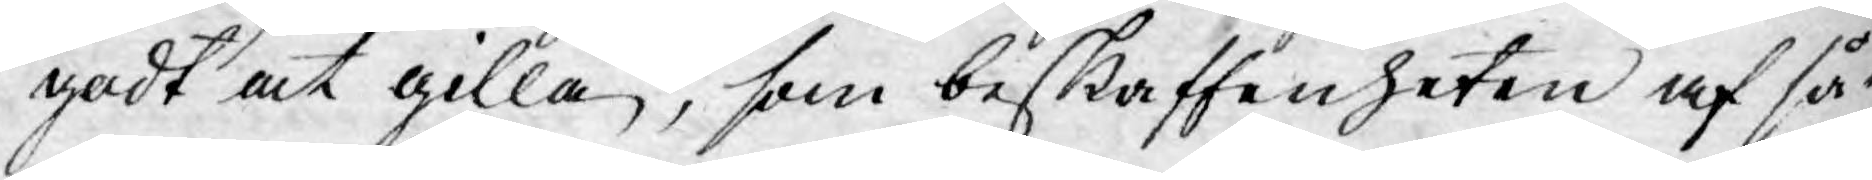godt at gilla, som beskaffenheten af så¬
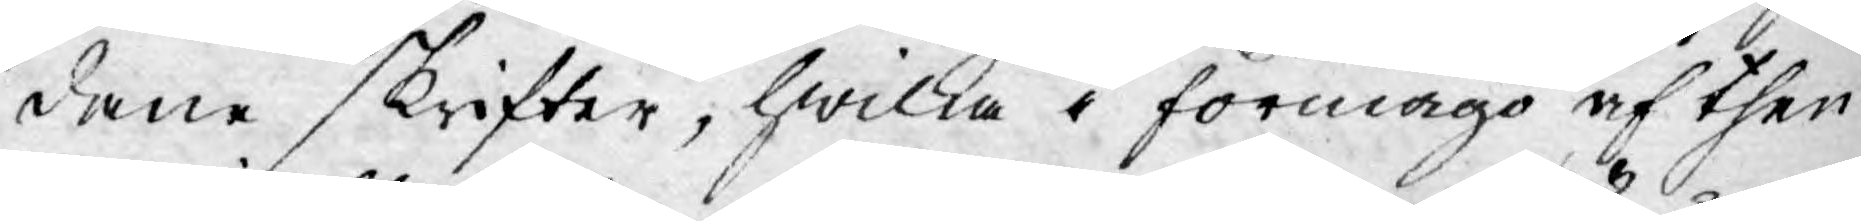dane skrifter, hwilka i förmågo af then¬
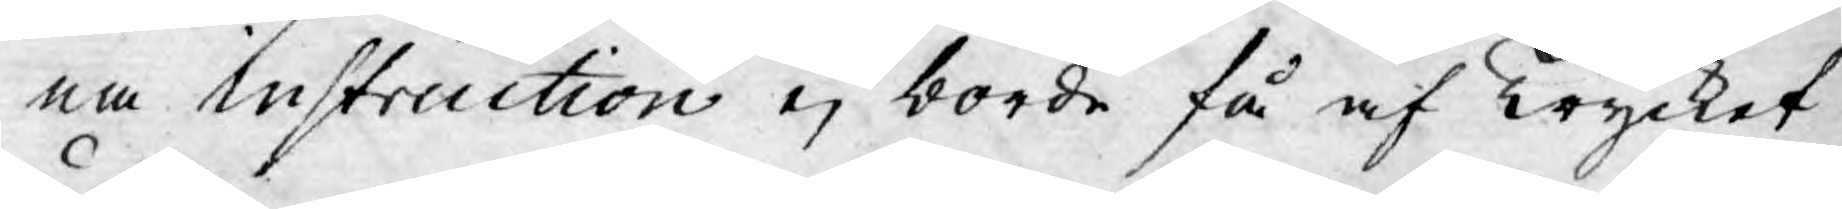na instruction ej borde få af Trycket
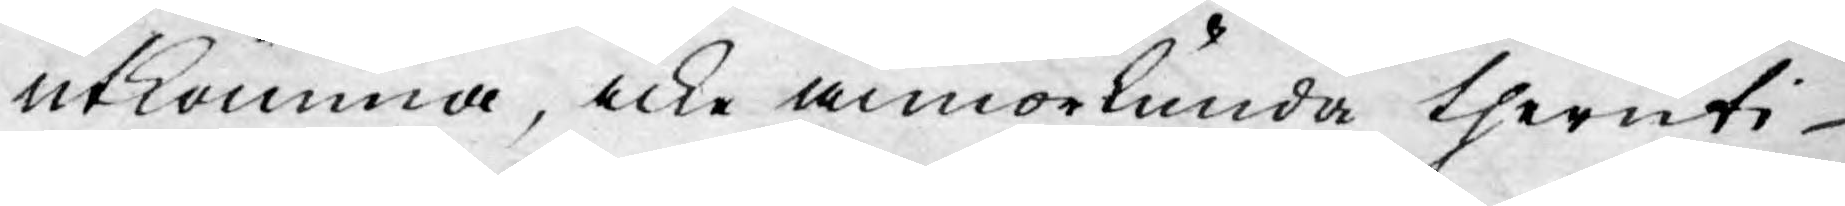utkomma, icke annorlunda theruti
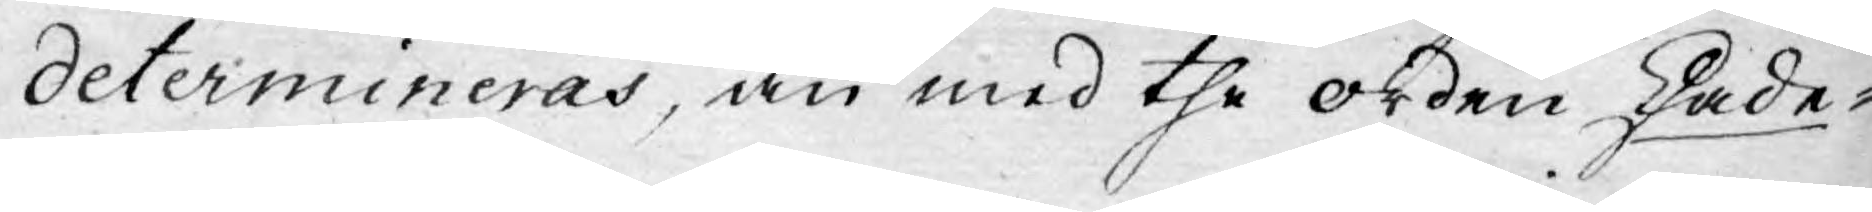determineras, än med the orden Skade¬
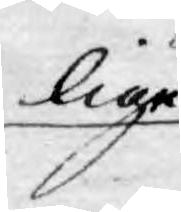lige
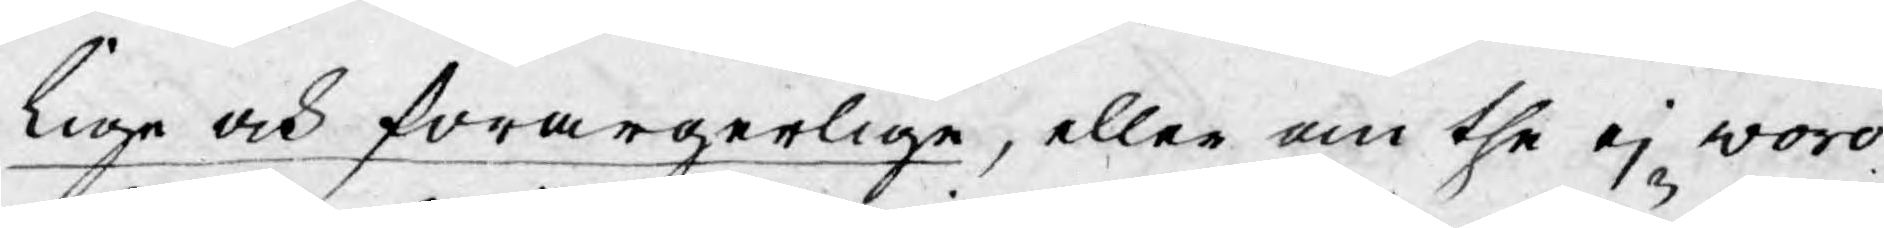lige och förargerlige, eller om the ej voro
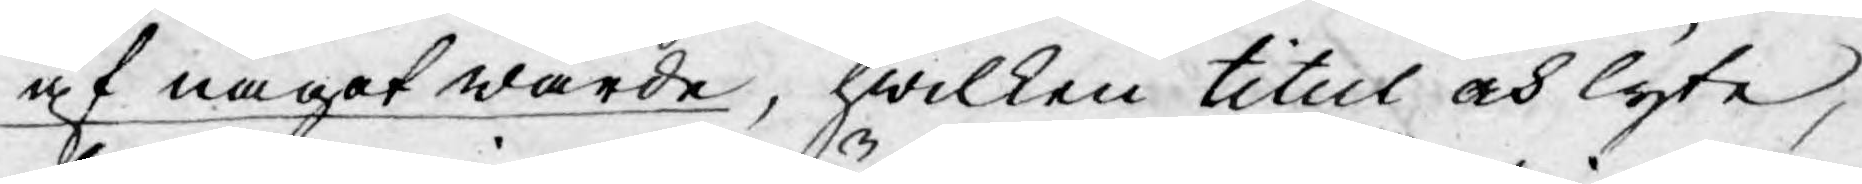af något wärde, hwilken titul och lyte,
